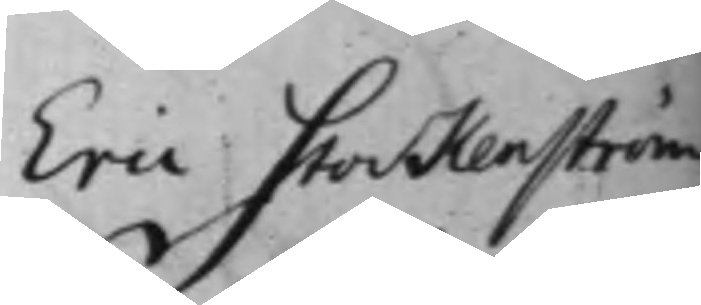Eric Stockenström
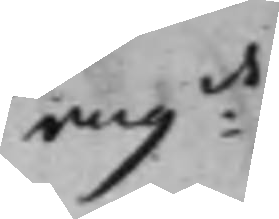ang:de
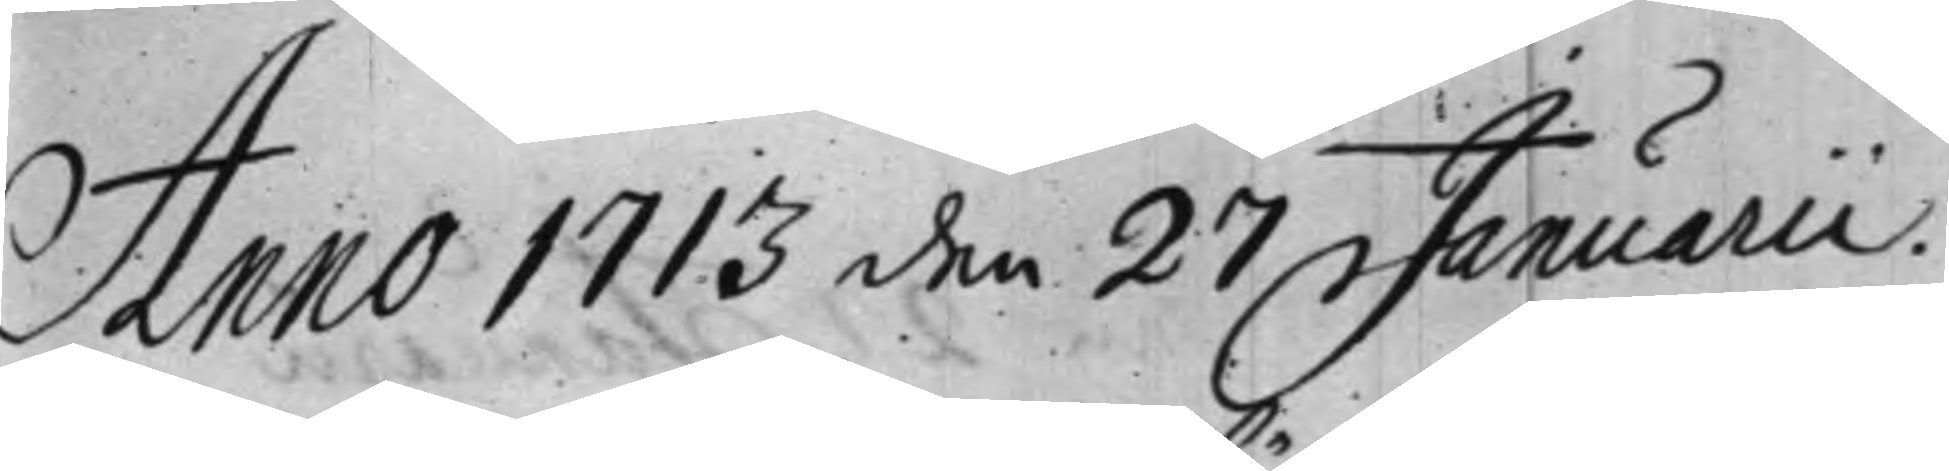Anno 1713 den 26 Januarii.
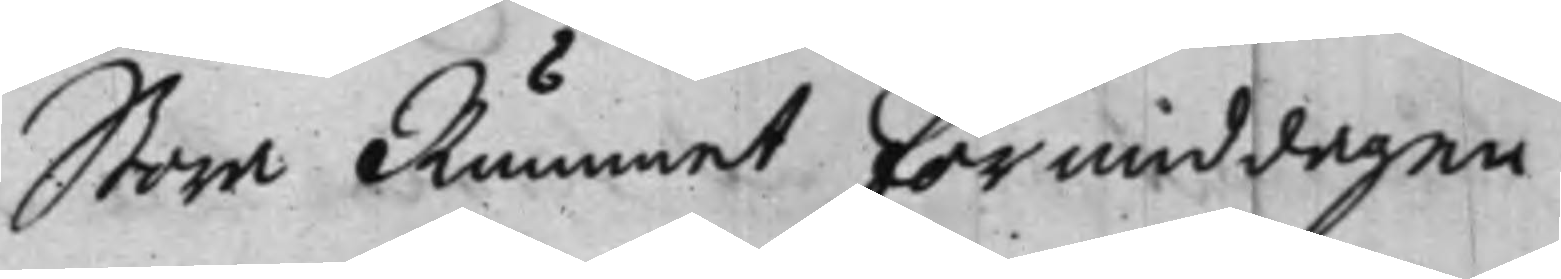Stora Rummet förmiddagen.
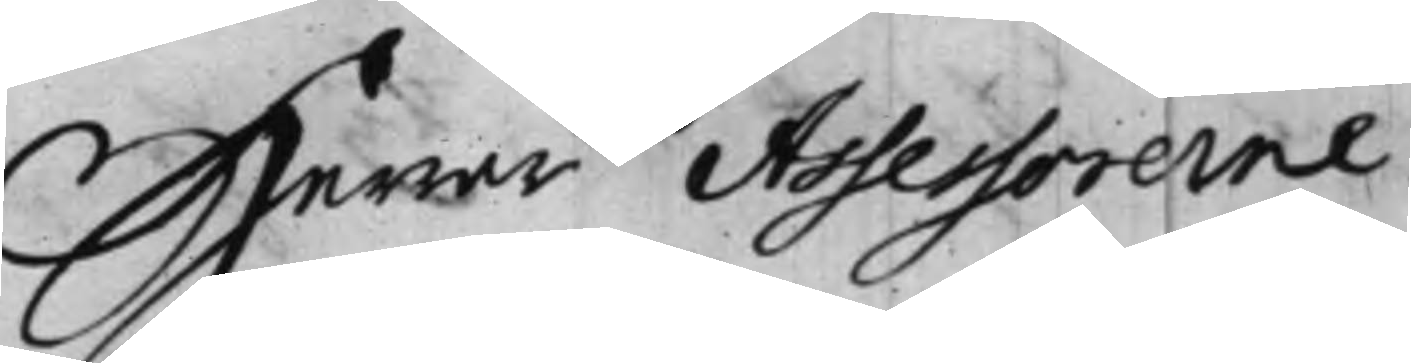Herrar Assessorerne.
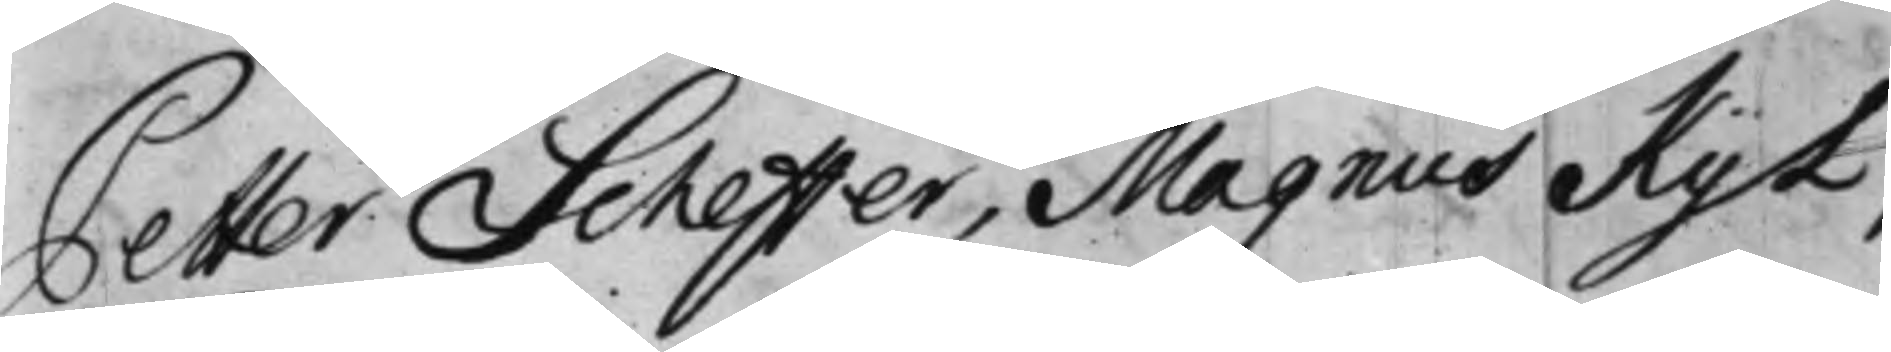Petter Scheffer, Magnus KyL,
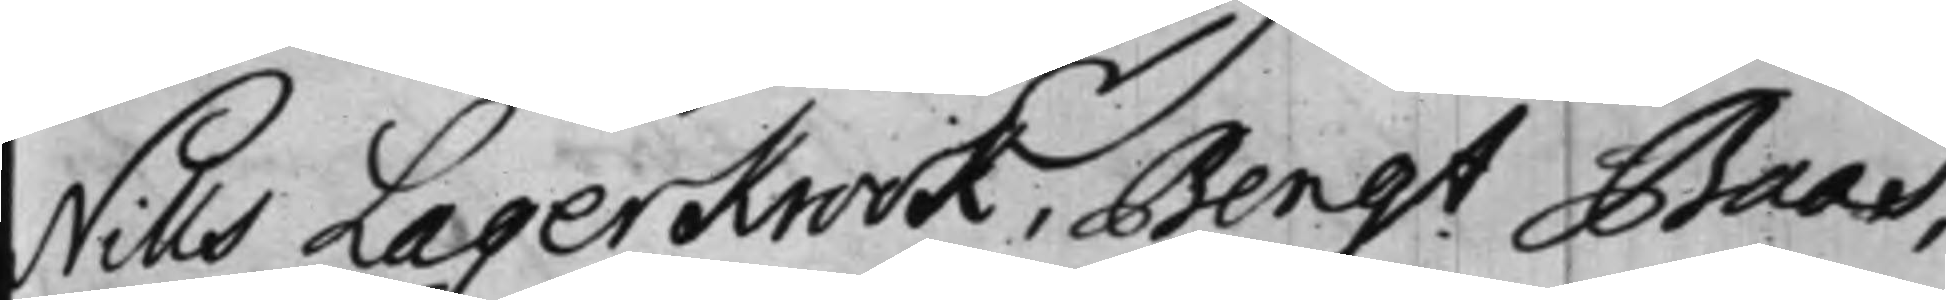Nills LagerKrook, Bengt Baas,
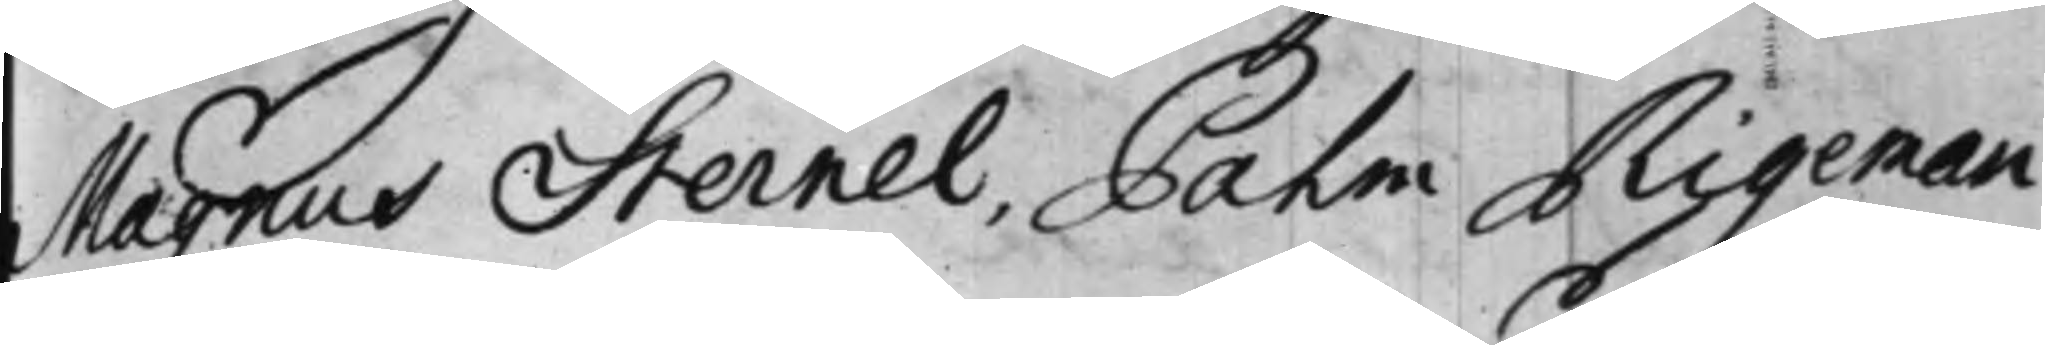Magnus Sternel, Palm Rigeman.
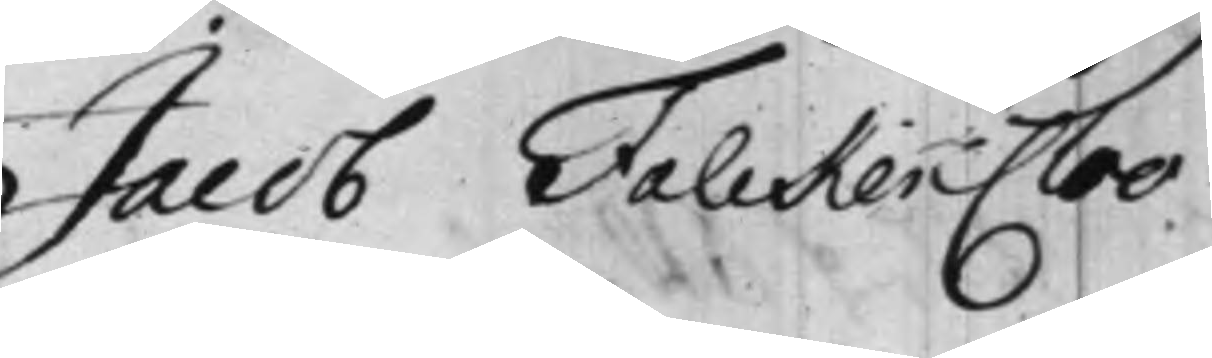Jacob FalckenCloo.
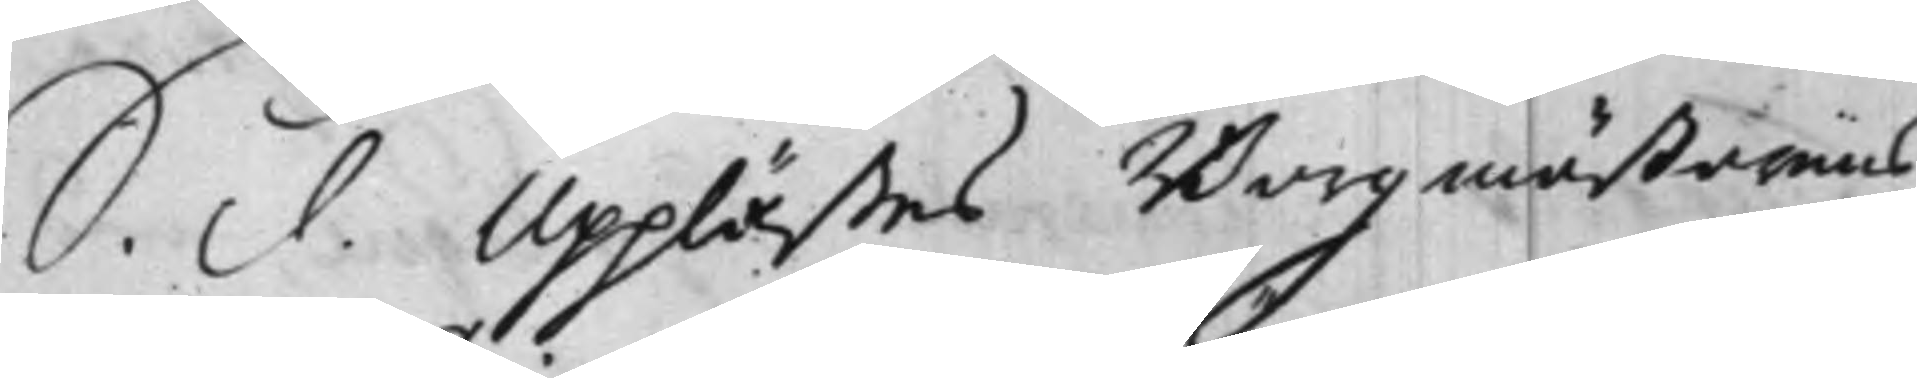S. d. Upplästes Borgmästarens
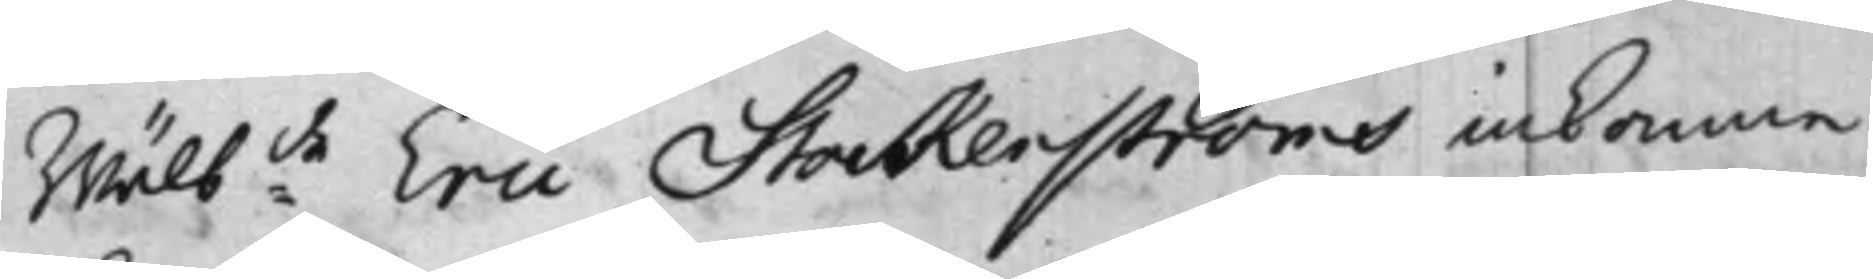Wälb:de Eric Stockenströms inkomne
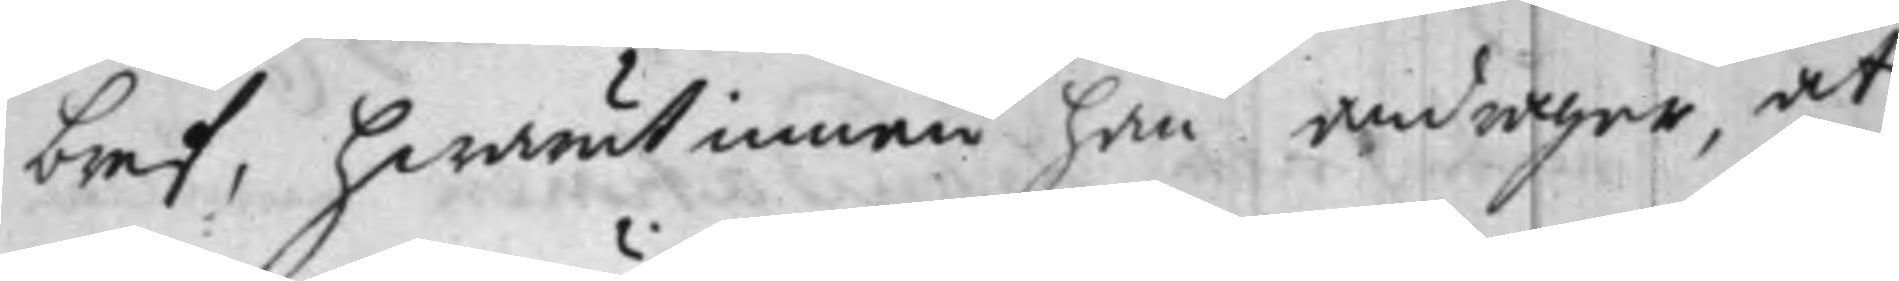bref, hwarutinnan han andrager, at
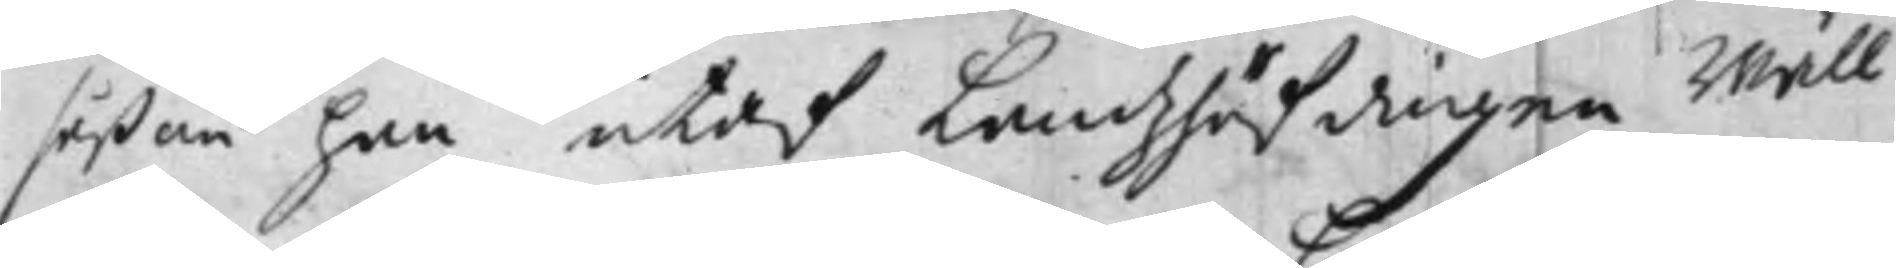såßom han utaf Landzhöfdingen Wäll¬
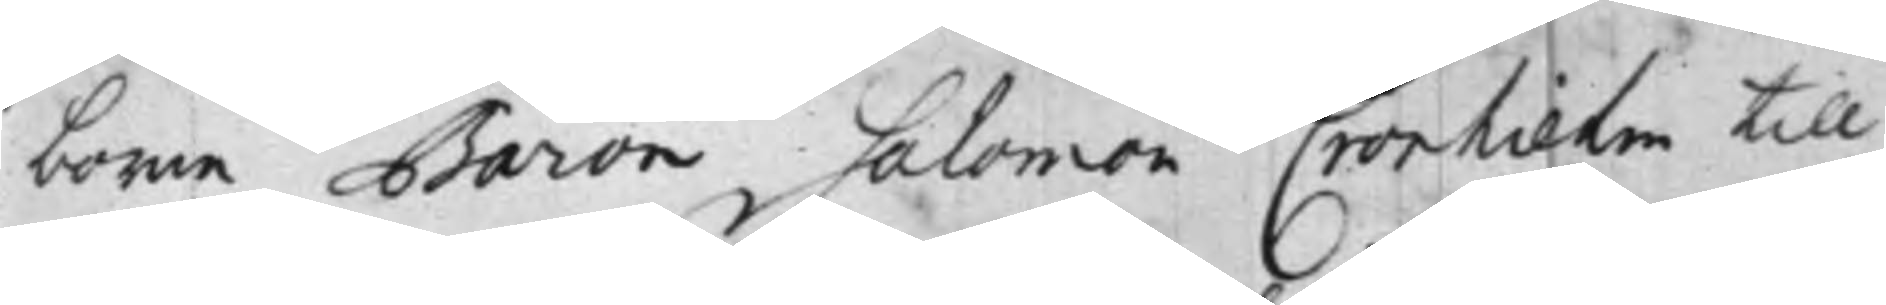borne Baron Salomon Cronhielm till
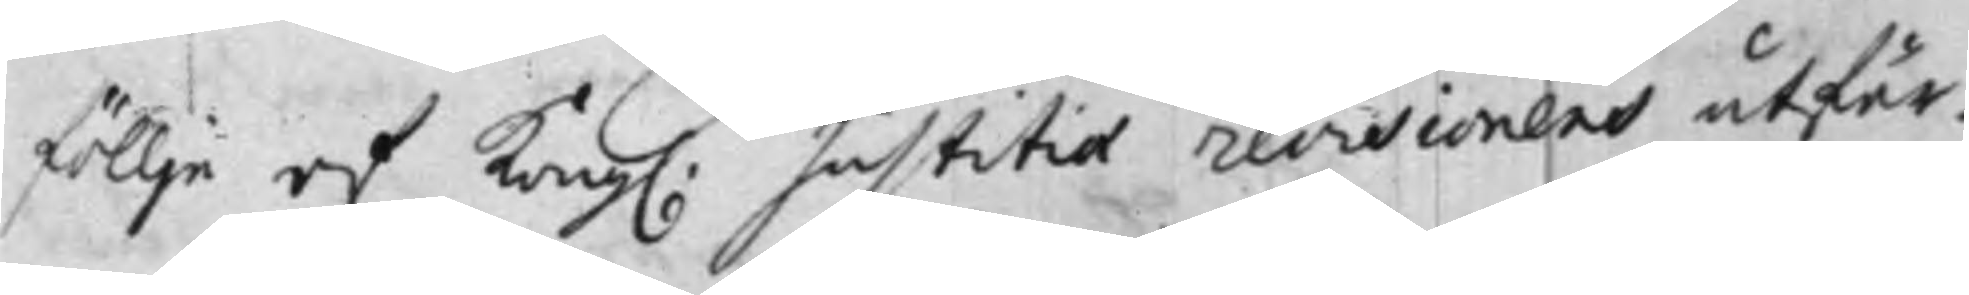föllje af Kong. Justitiae revisionens utfär¬
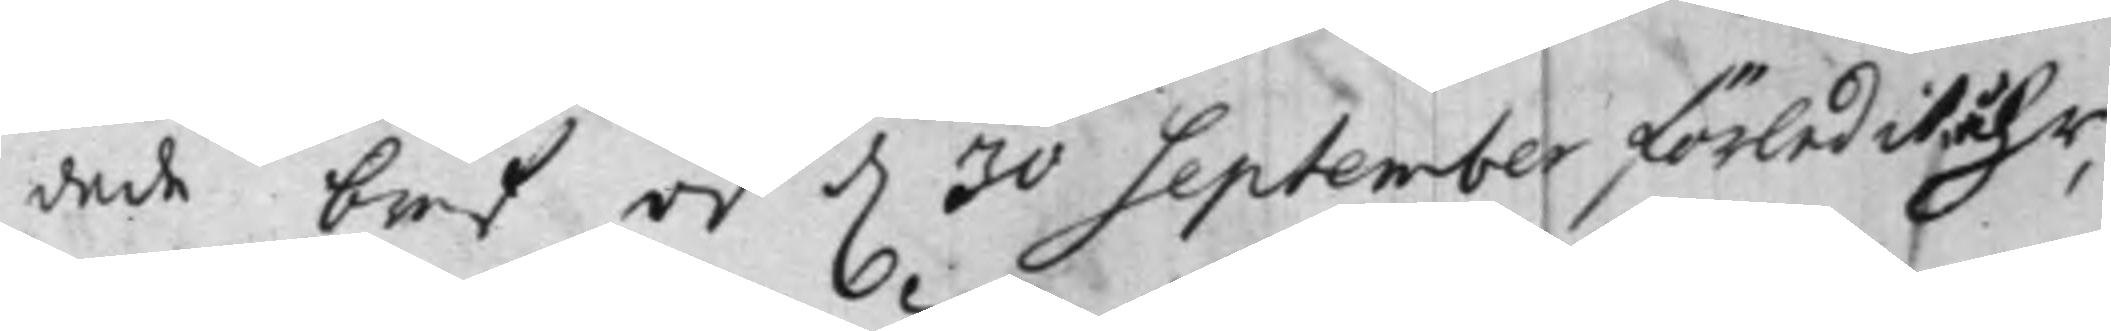dade bref af d. 30 September förledit åhr,
